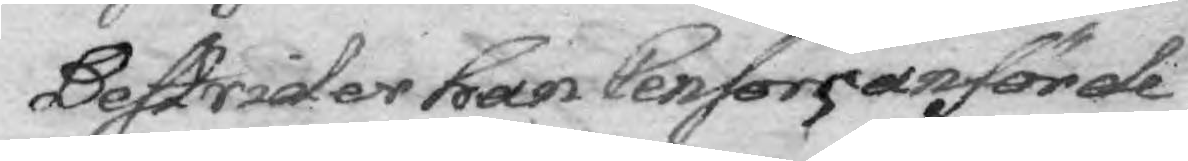Bestrider han Censors anförde
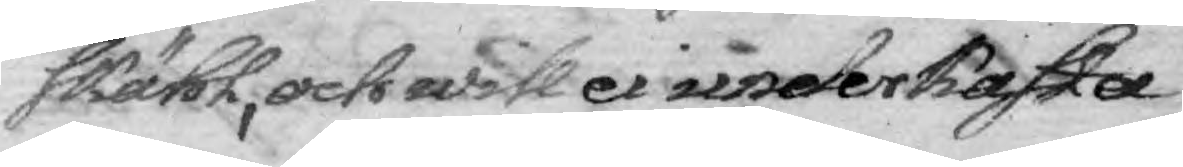skähl, och will ei underkasta
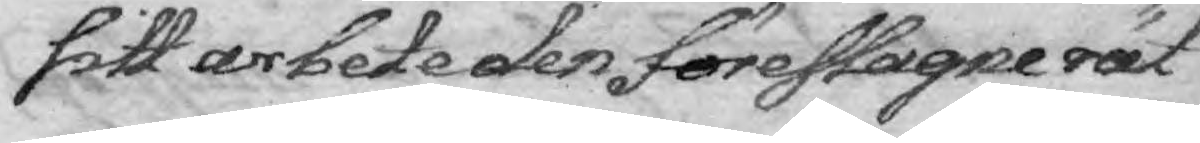sitt arbete den föreslagne rät¬
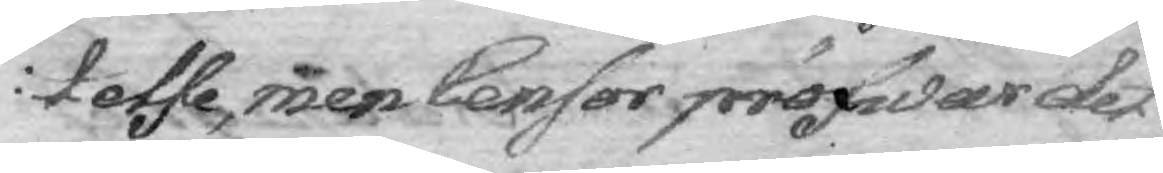telse, men Censor pröfwar det
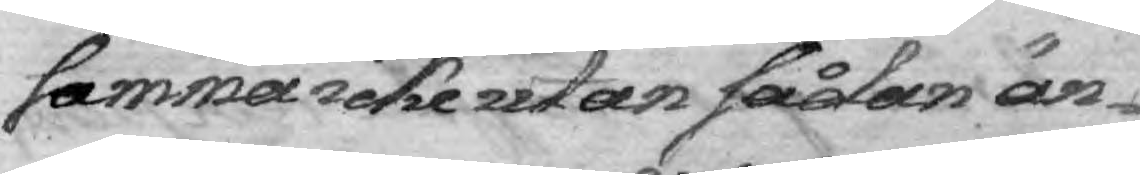samma icke utan sådan än¬
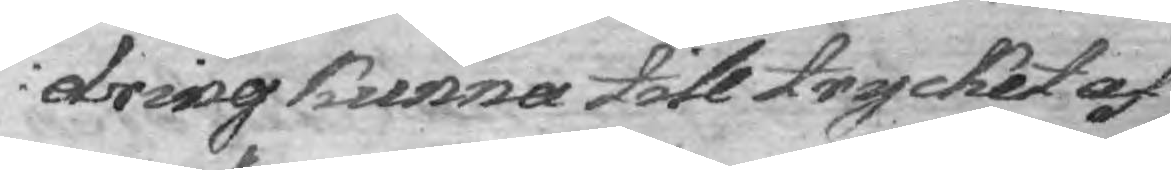dring kunna till trycket af¬
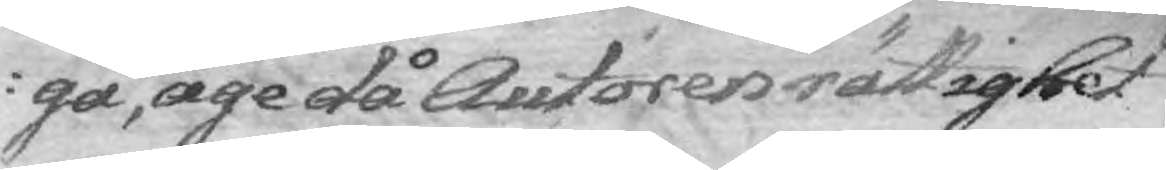gå, äge då Autoren rättighet
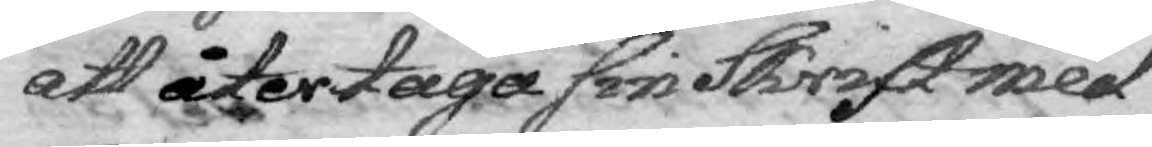att återtaga sin Skrift med
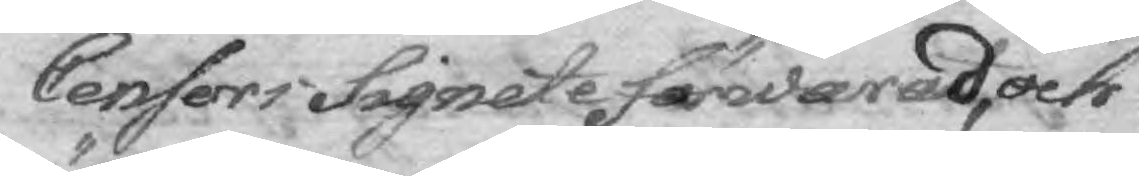Censori Signete färderad, och
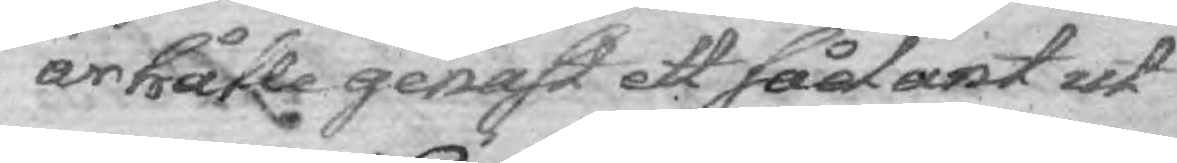änhålle genast ett sådant ut¬
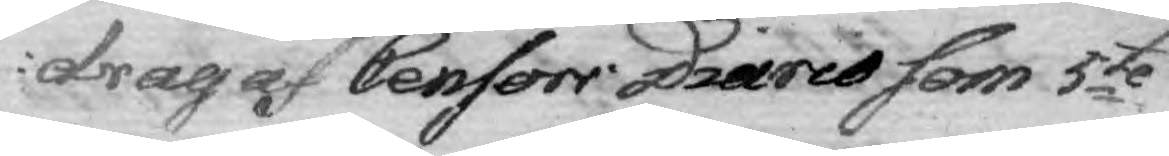drag Censors Diario som 5te
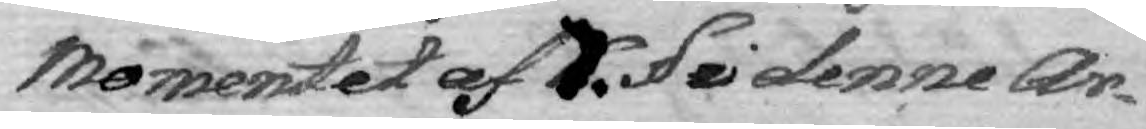Momentet af 7. § ei denne Ar¬
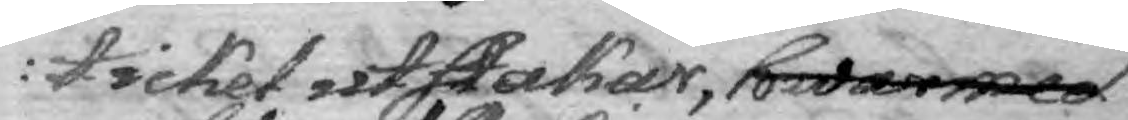tickel utstakar, hwarmed
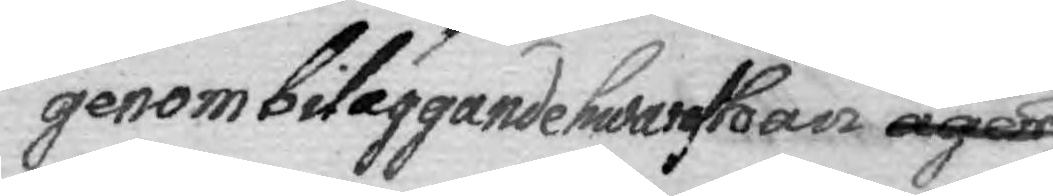genom biläggande hwaraf han äger
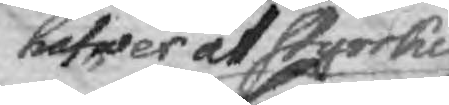hafwer at styrkia
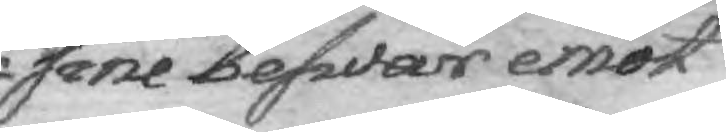sine beswär emot
